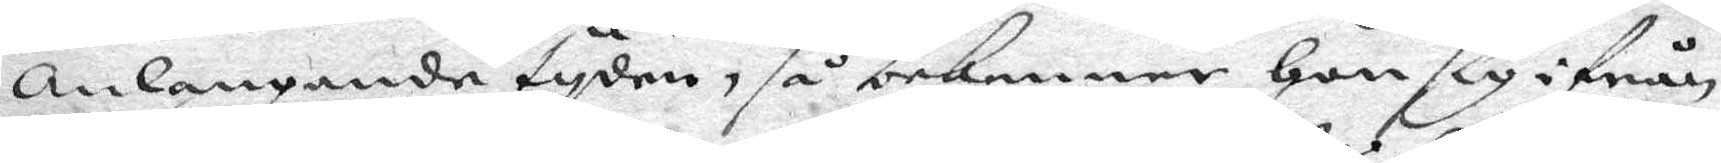Anlangande tyden, så bekenner Hon sig ifrån
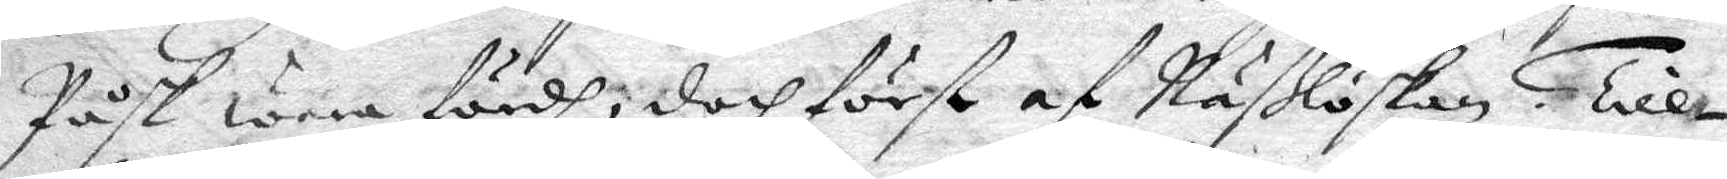Påsk wara fördh, doch först af Näßlöskan. Till¬
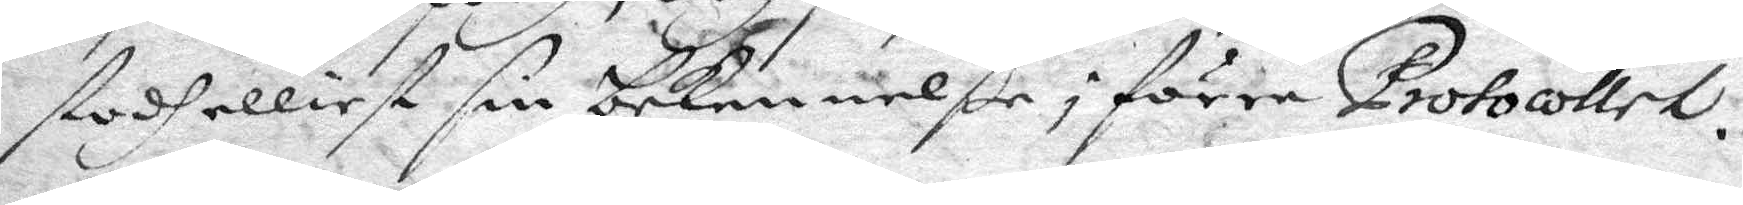stodh elliest sin bekennelße i förre Protocollet.
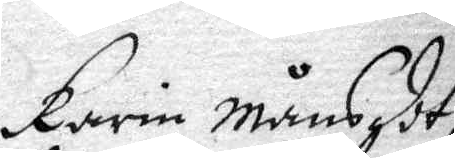Karin Månsdot¬
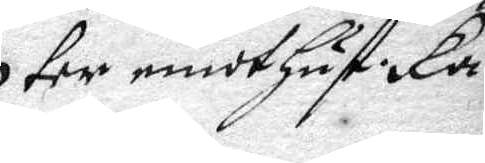ter emot Hust: Ka¬
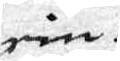rin.
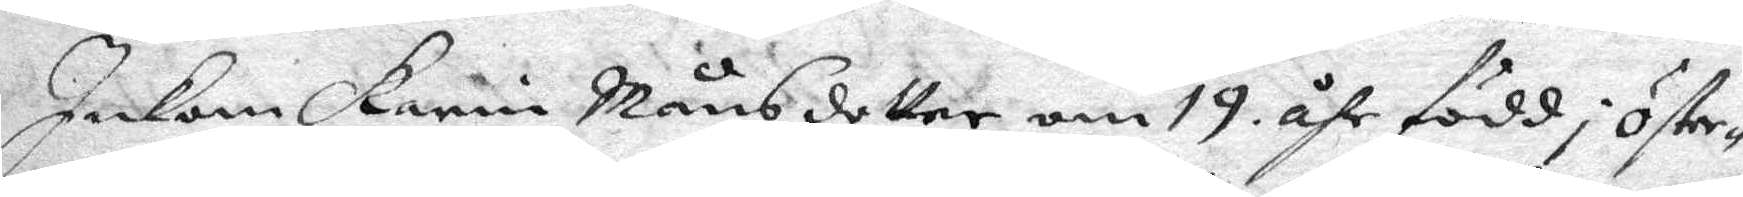Inkom karin Månsdotter om 19 åhr född i Öster¬
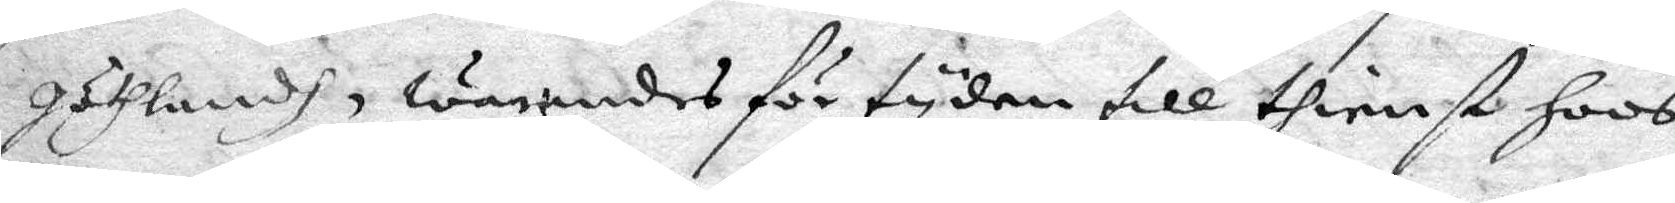göthlandh, warandes för tyden till thienst hoos
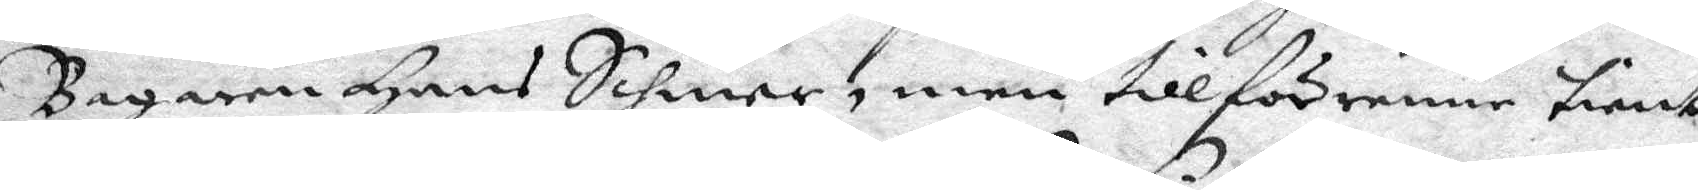Bagaren Hans Sihner, men tillförene tient
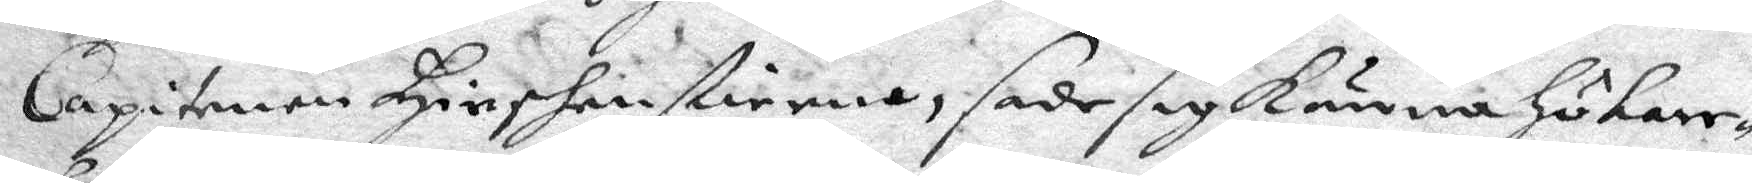Capitenen Hiershebstierna, sade sig känna Hökare¬
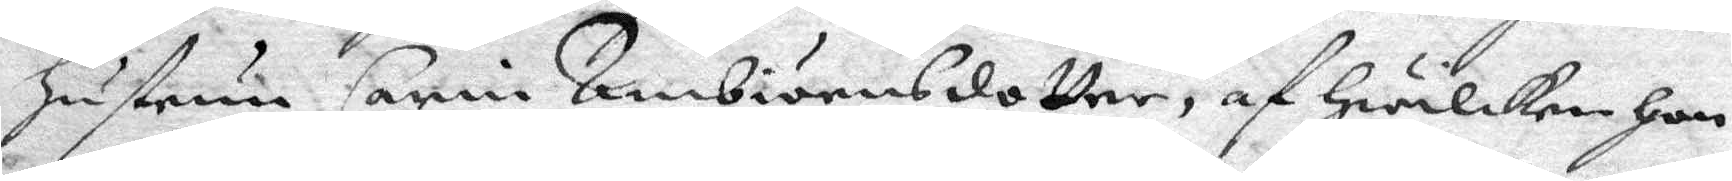Hustrun Carin Ambiörnsdotter, af Hwilken Hon
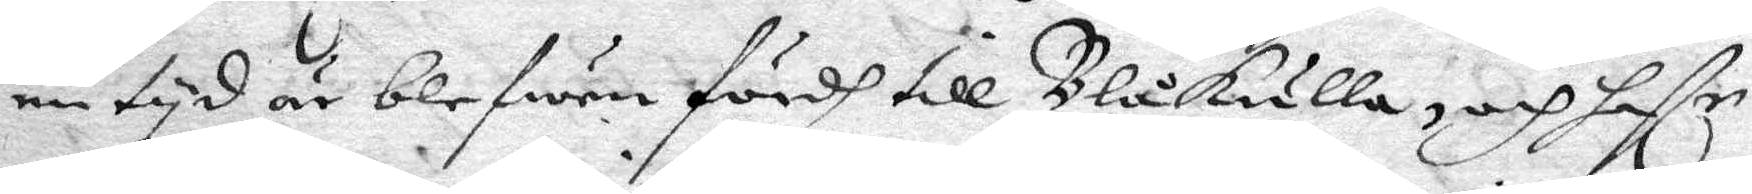en tyd är blefwen fördh till Blåkulla, och haffr
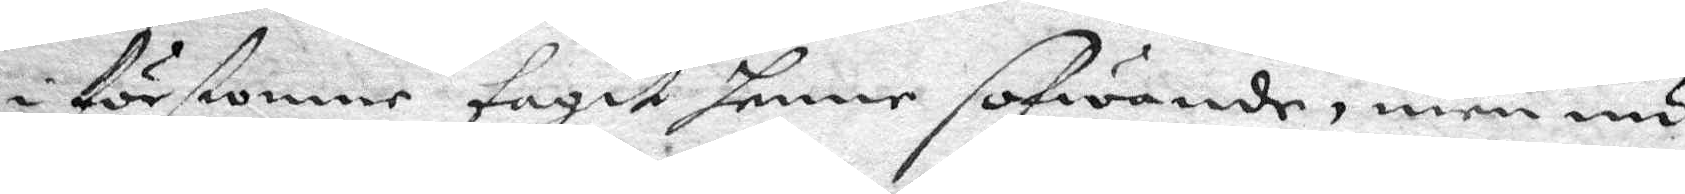i förstone tagit henne sofwande, men nu
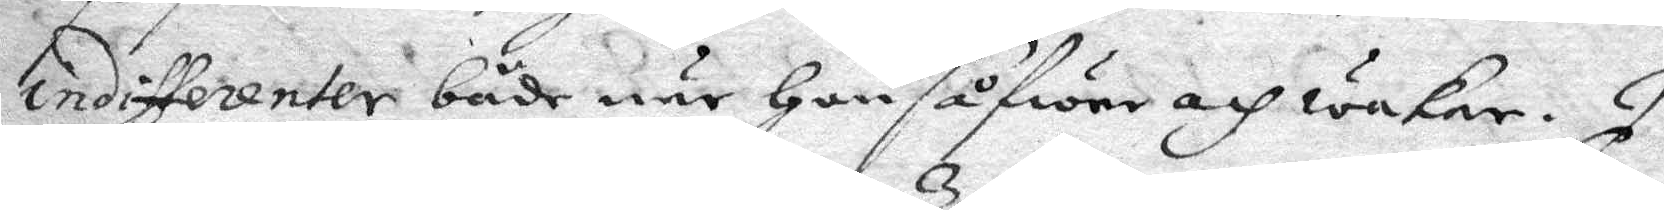indifferenter både när Hon såfwer och wakar. I
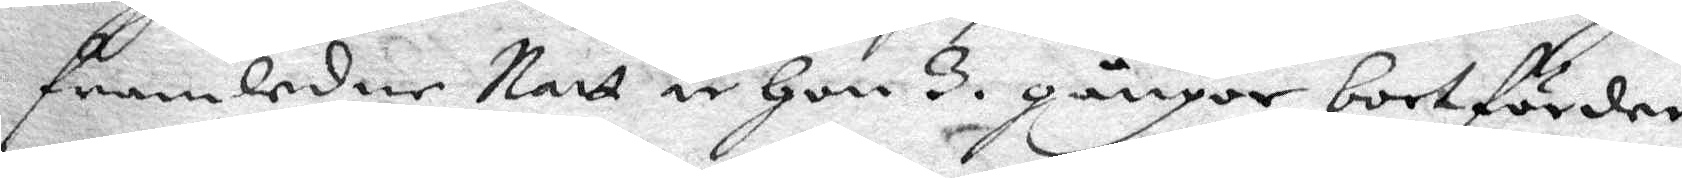framledne Natt är Hon 3 gånger bortförder
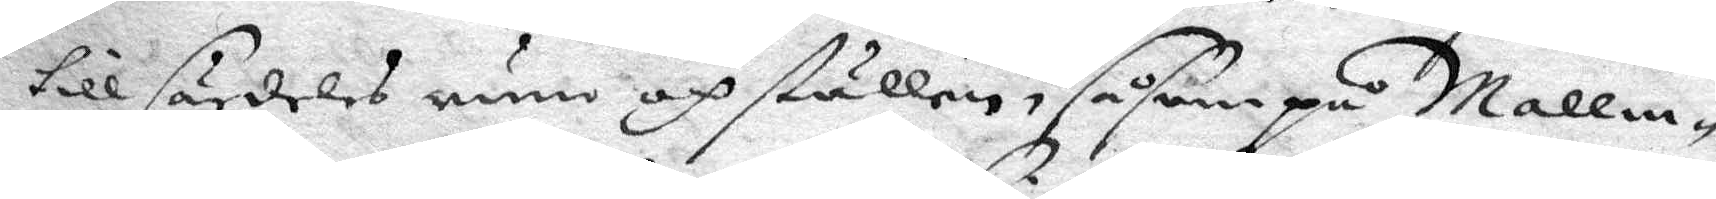till särdeles rum och ställen, såsom på Malm¬
